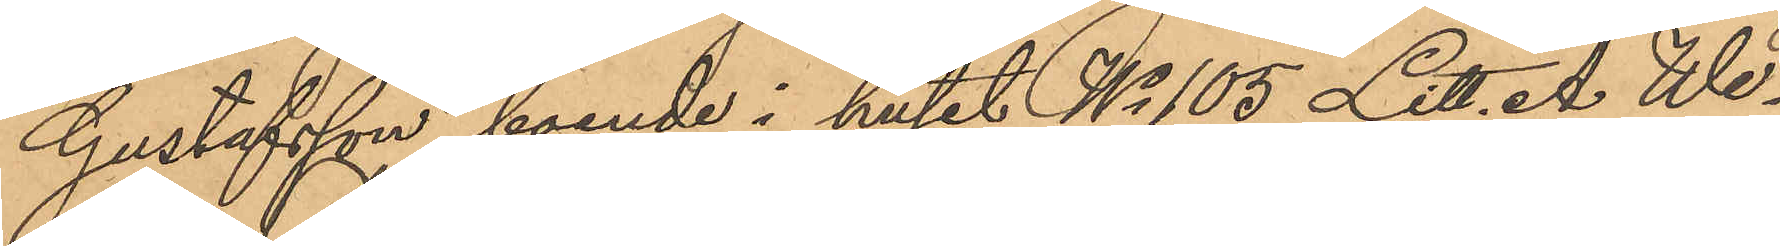Gustafsson, boende i huset No 105 Litt. A. We¬
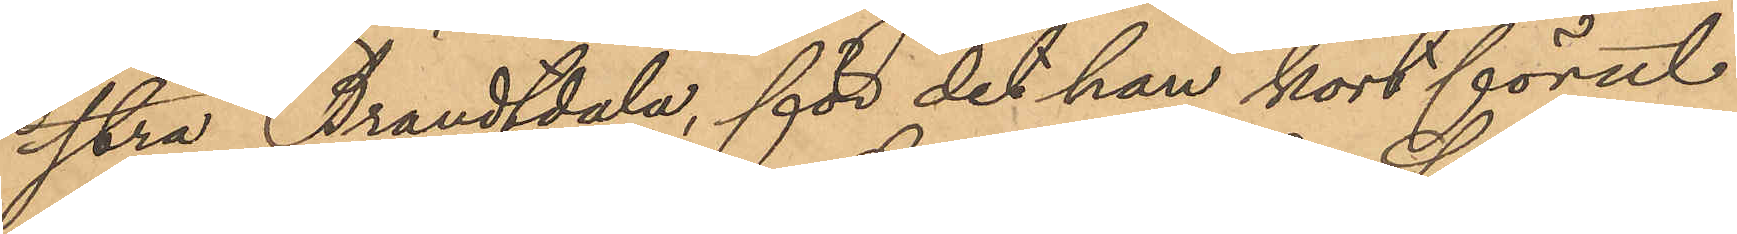stra Brandtdala, för det han kort förut
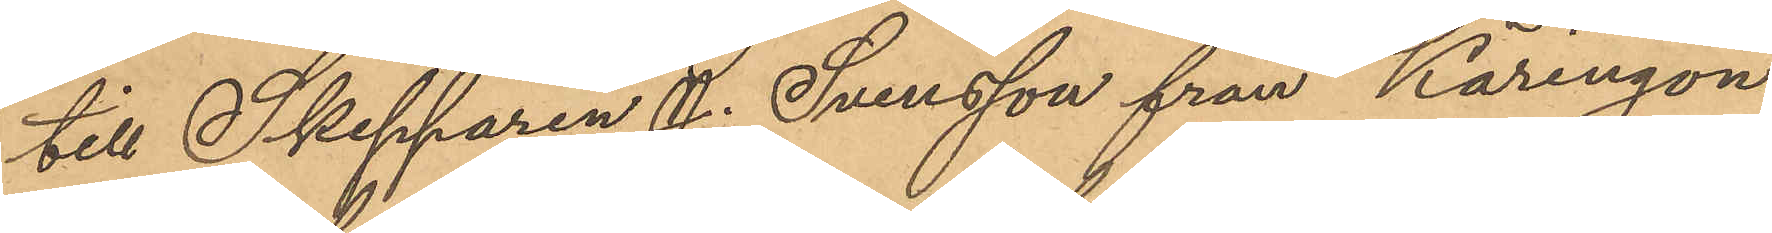till Skepparen J. Svensson från Käringön
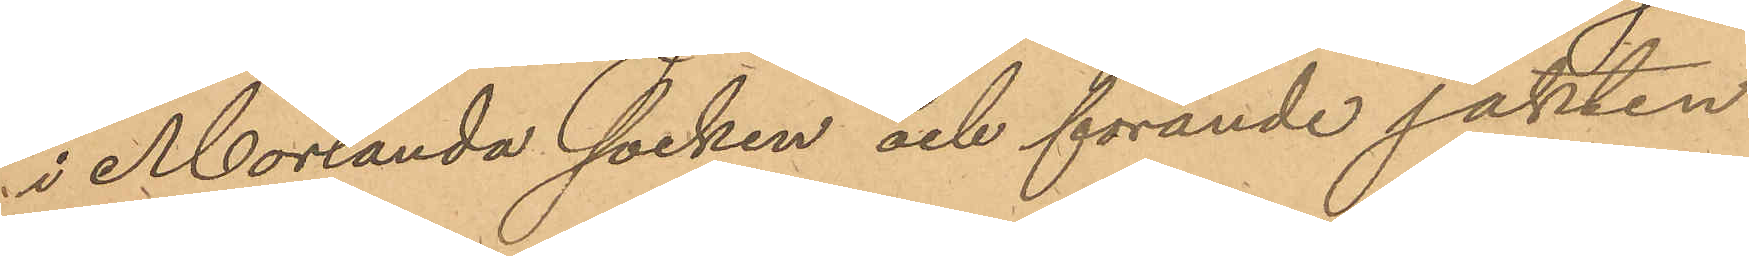i Morlanda socken och förande jakten
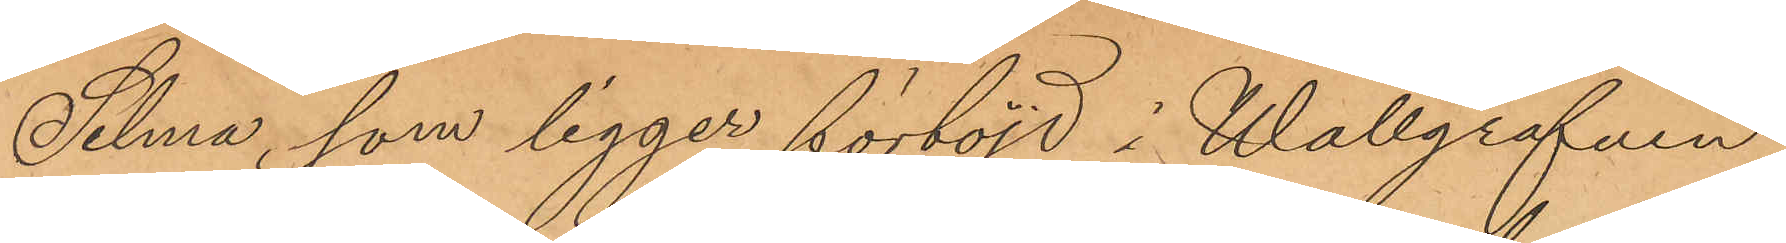Selma, som ligger förtöjd i Wallgrafven
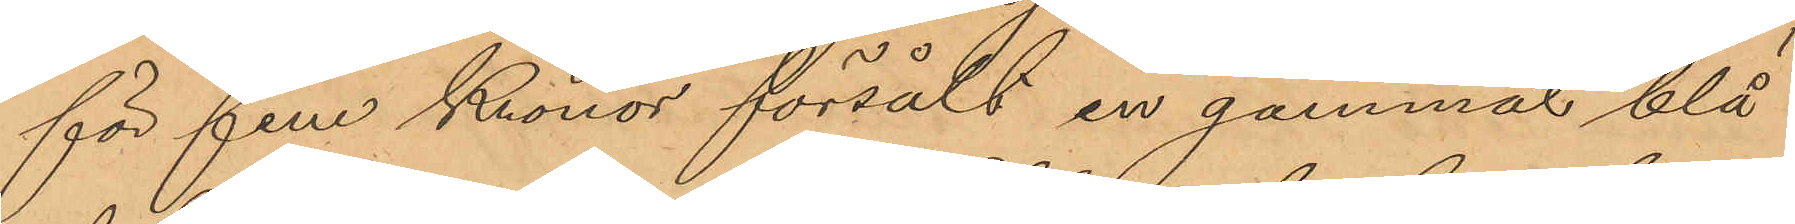för fem Kronor försålt en gammal blå
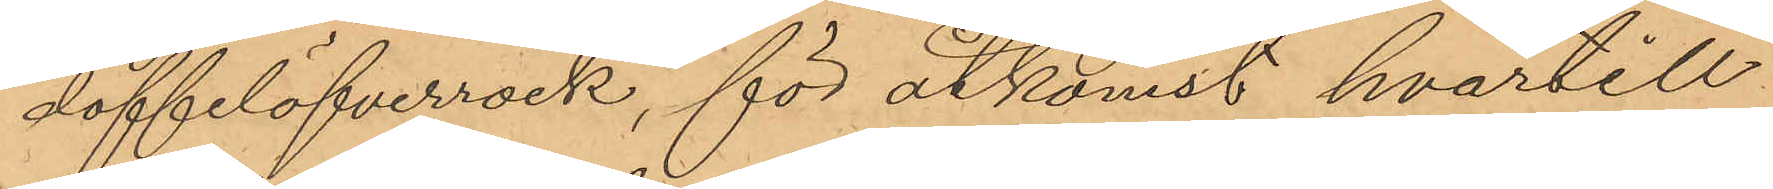doffelöfverrock, för åtkomst hvartill
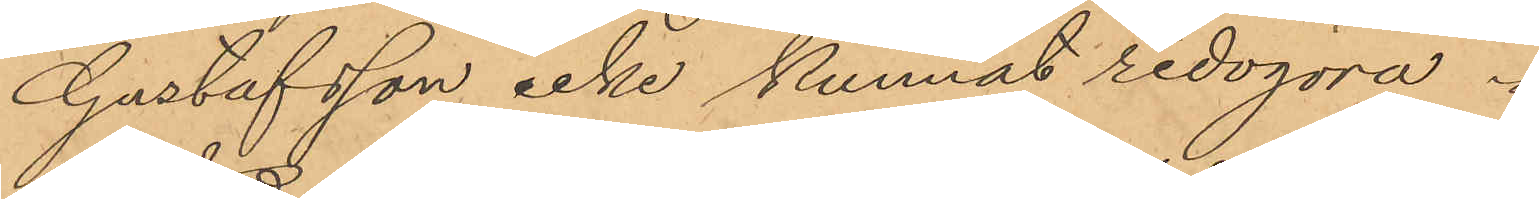Gustafsson icke kunnat redogöra.
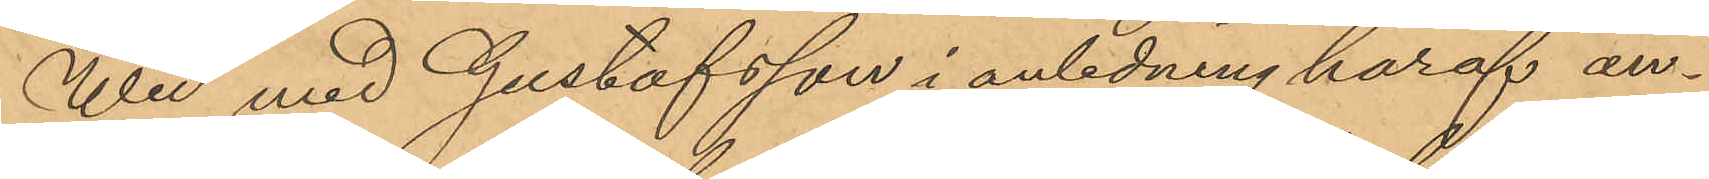Wid med Gustafsson i anledning häraf an¬
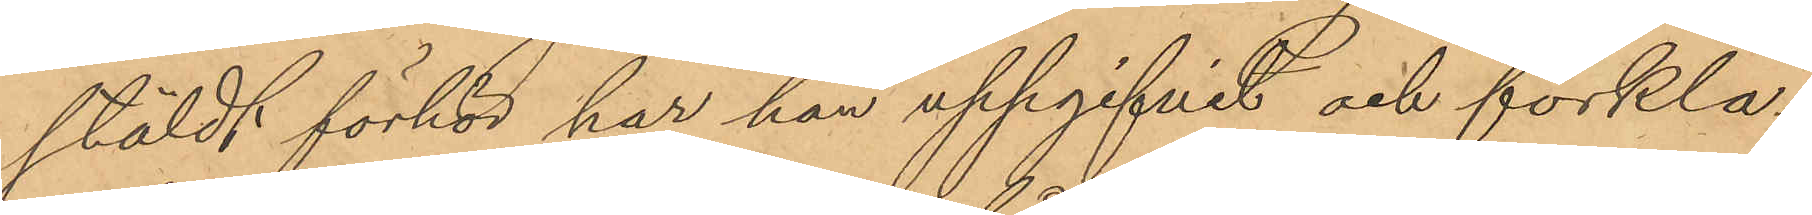stäldt förhör har han uppgifvit och förkla¬
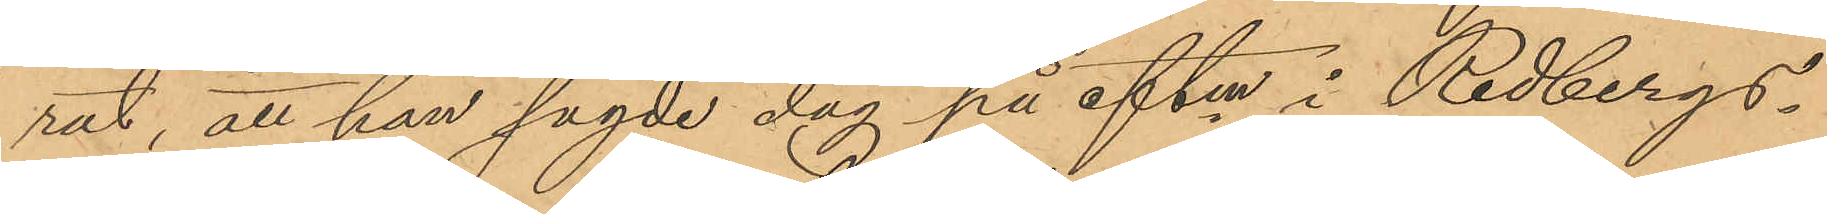rat, att han sagde dag på eftm i Redbergs¬
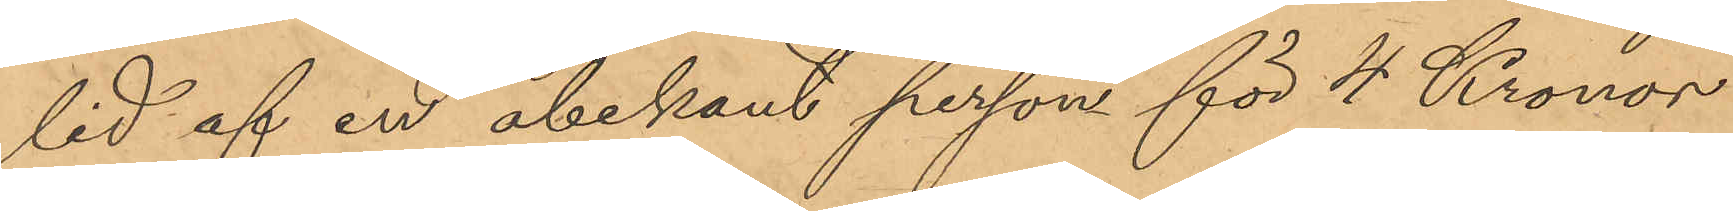lid af en obekant person för 4 Kronor
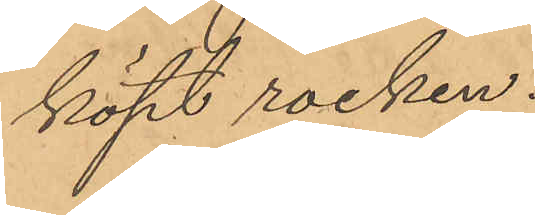köpt rocken.
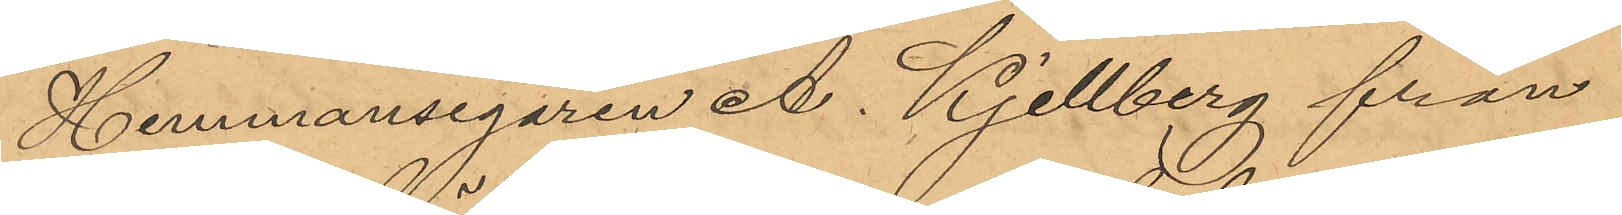Hemmansegaren A. Kjellberg från
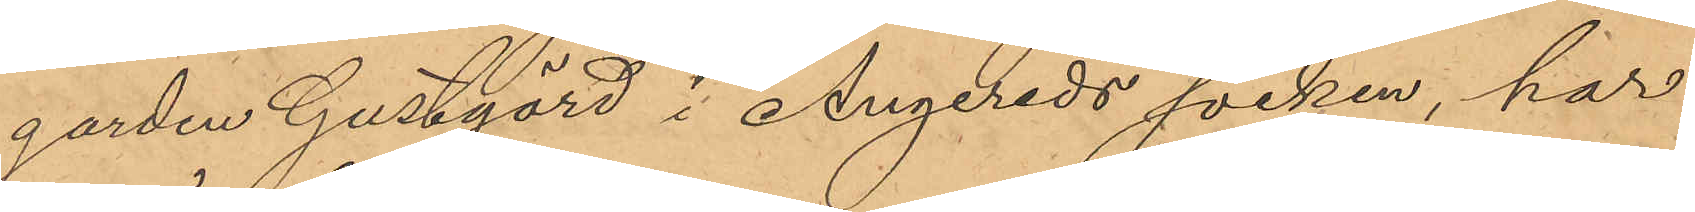garden Gustgärd i Angereds socken, har
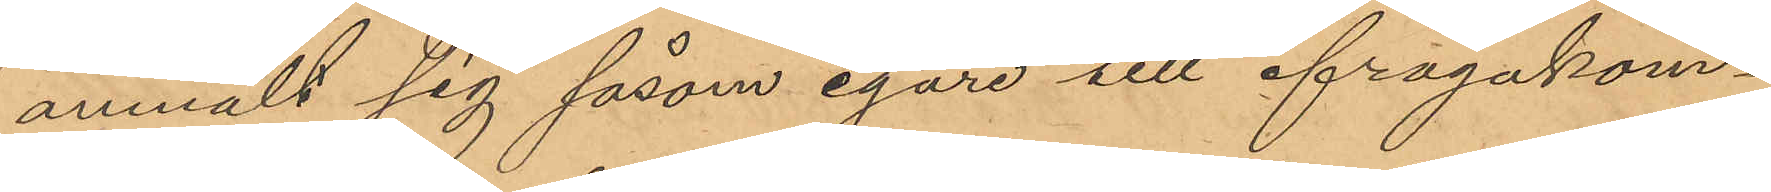anmält sig såsom egare sill ifrågakom¬
